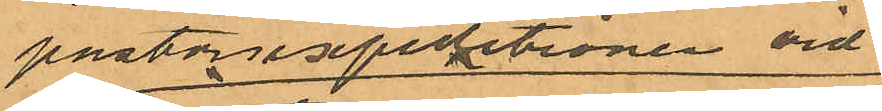pastorsexpeditionen vid
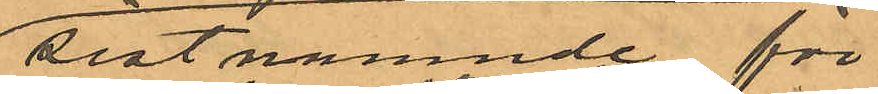sistnämnde för¬
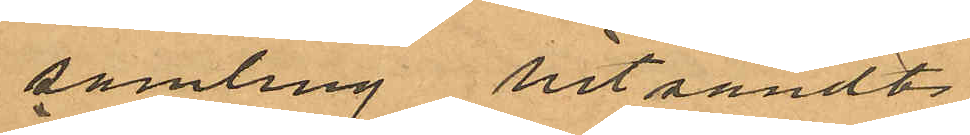samling hitsändt
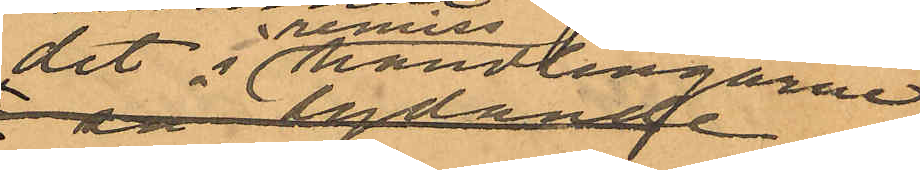det i remiss handlingaren
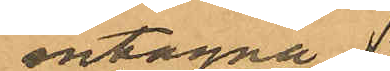intagna
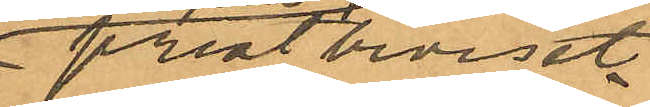prestbeviset.
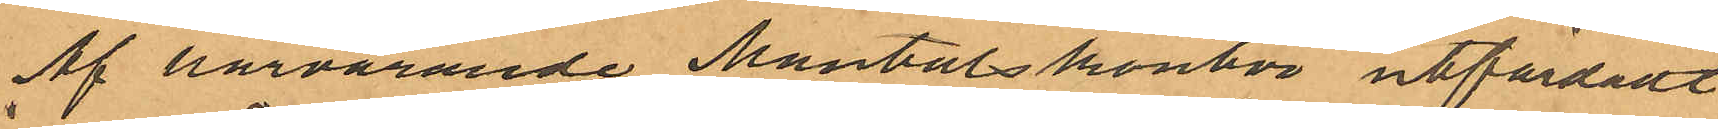Af härvarande Mantalskontor utfärdadt
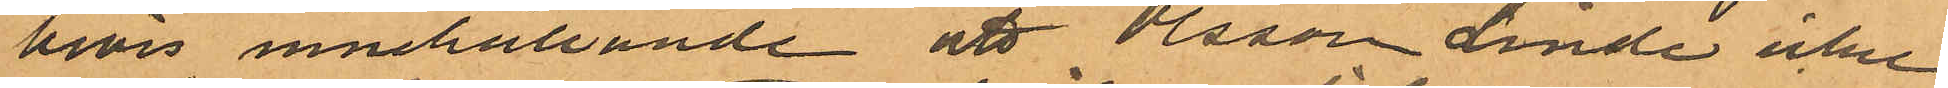bevis innehållande att Olsson Linde icke
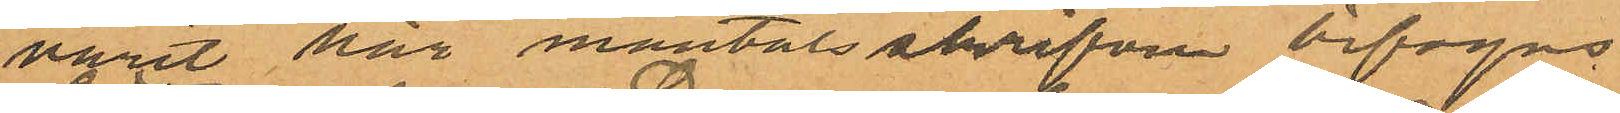varit här mantalsskrifven bifogas.
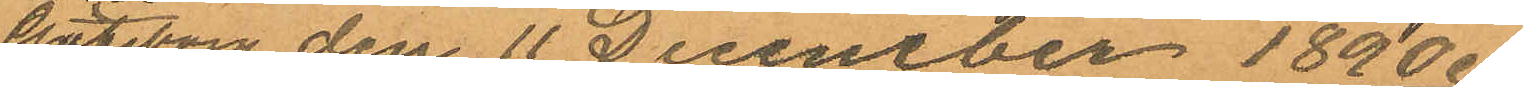Göteborg den 11 December 1890.
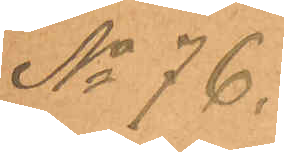No 76.
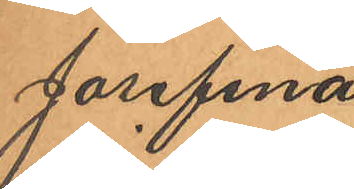Josefina
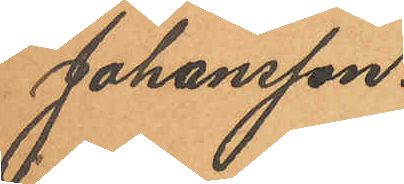Johansson.
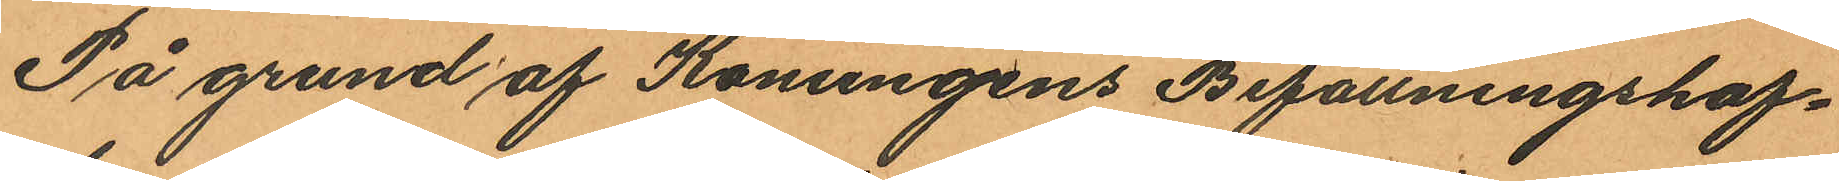På grund af Konungens Befallningshaf¬
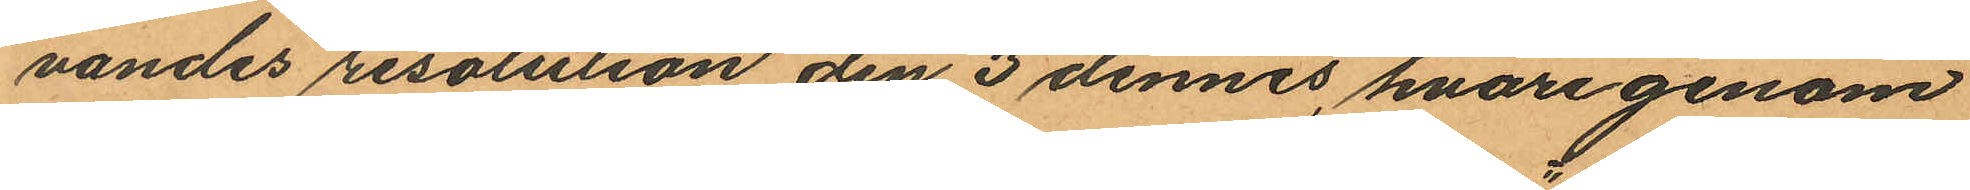vandes resolution den 3 dennes, hvarigenom
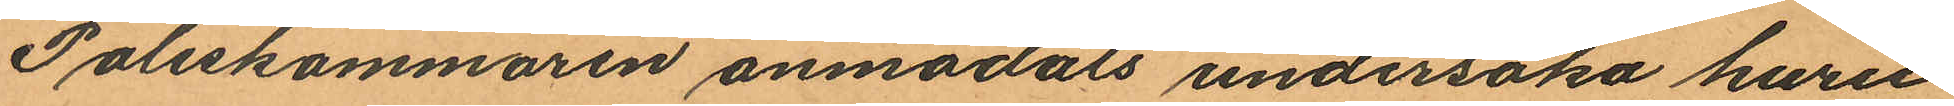Poliskammaren anmodats undersöka, huru
